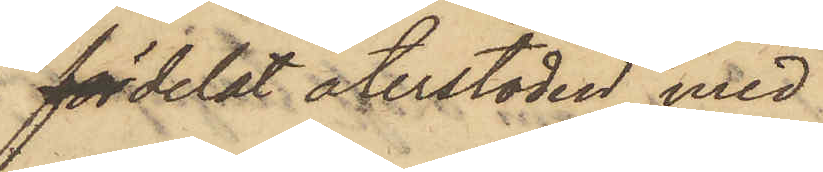fördelat återstoden med
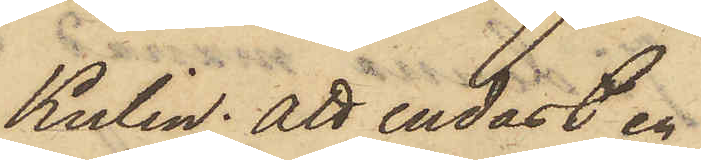Kulin; att endast en
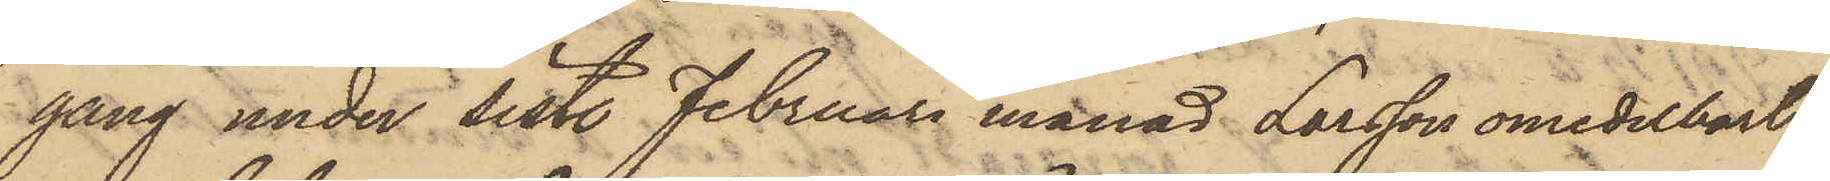gång under sistl. Februari månad Larsson omedelbart
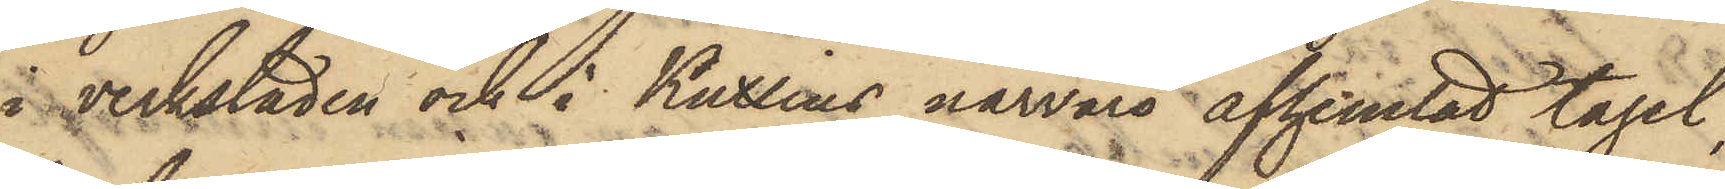i verkstaden och i Kullins närvaro afhemtat tagel,
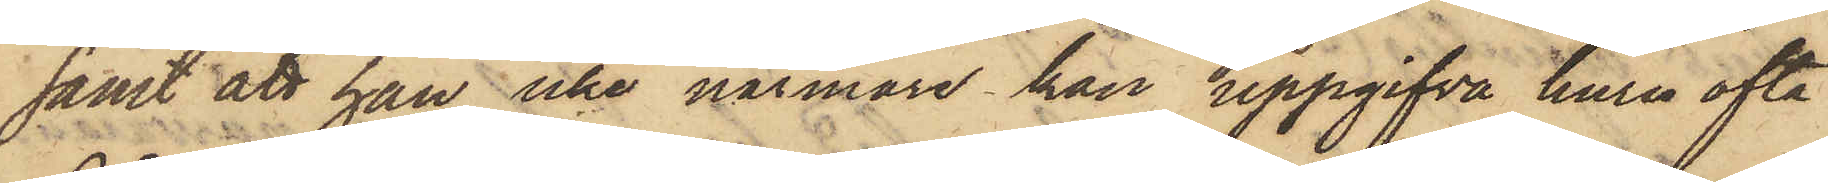samt att han icke närmare kan uppgifva huru ofta
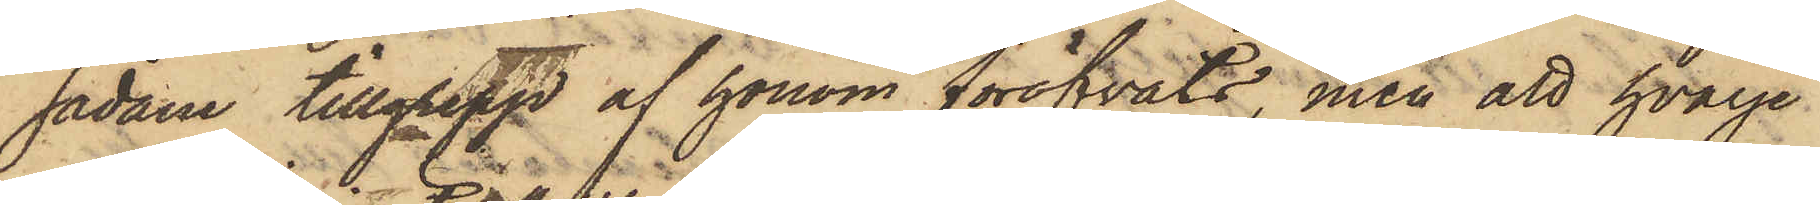sådane tillgrepp af honom föröfvats, men att hvarje
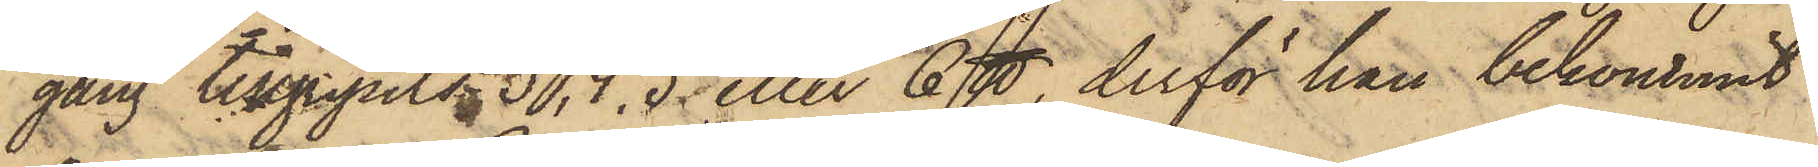gång tillgripits 3, 4, 5 eller 6 ℔, derför han bekommit
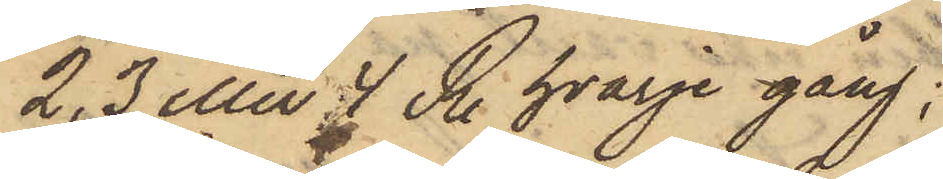2, 3 eller 4 R. hvarje gång;
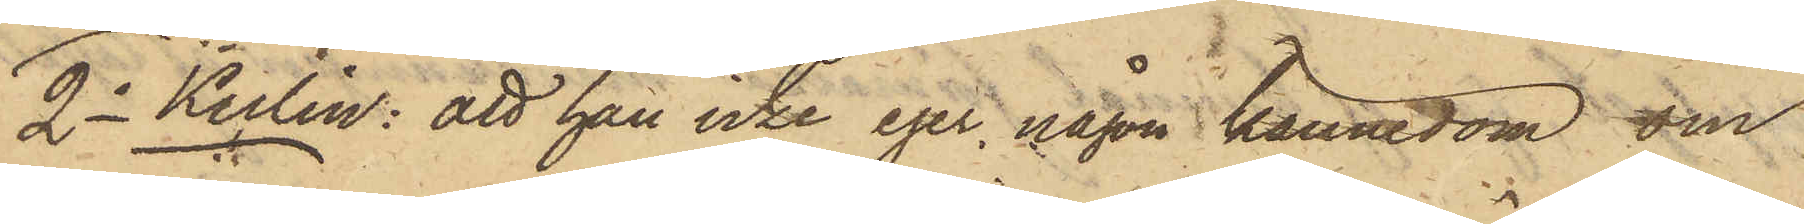2o Kulin: att han icke eger någon kännedom om
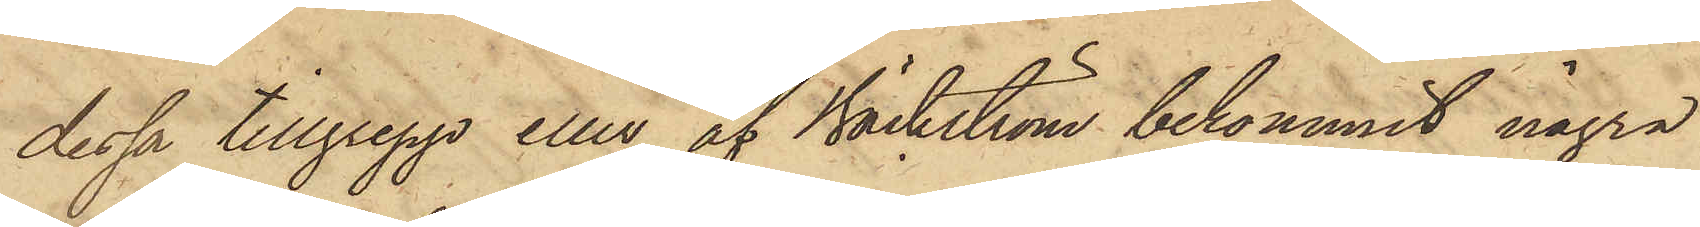dessa tillgrepp eller af Bäckström bekommit några
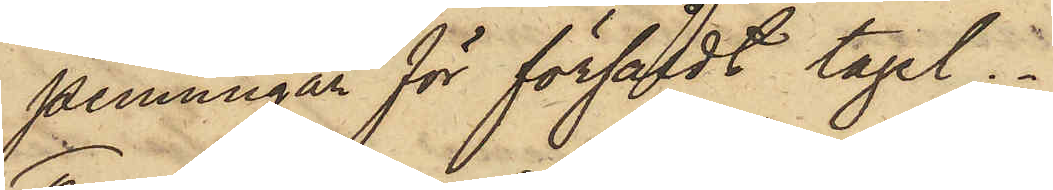penningar för försåldt tagel.
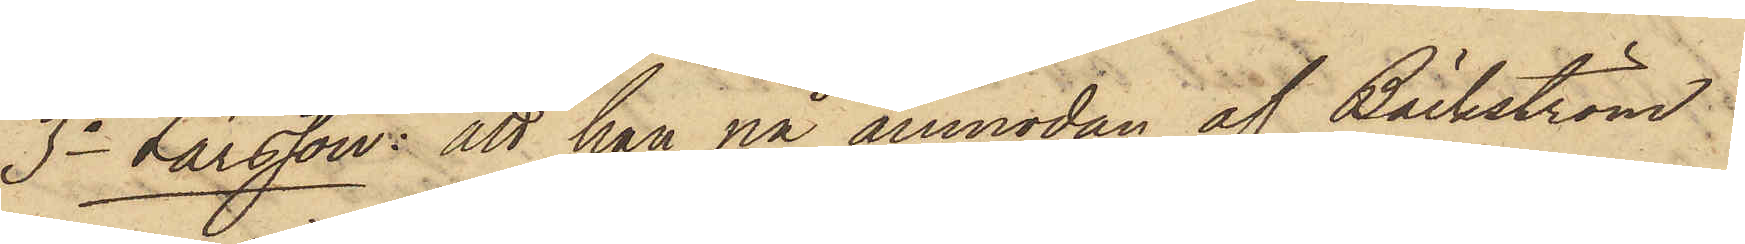3o Larsson: att han på anmodan af Bäckström
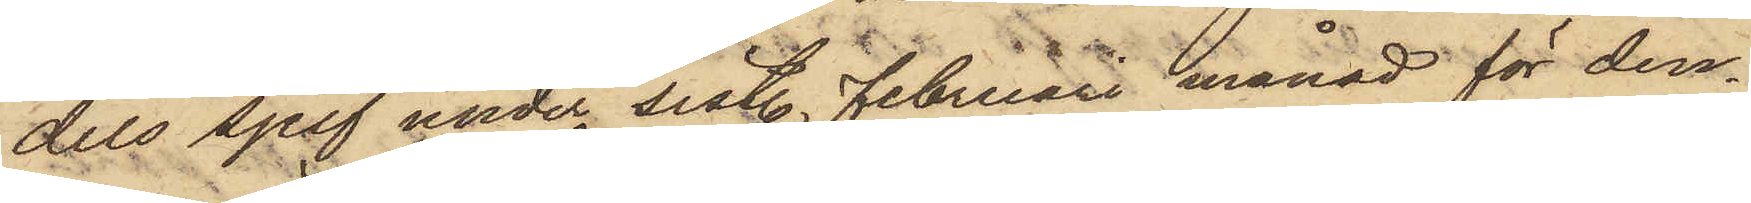dels sjelf under sistl. Februari månad för den¬
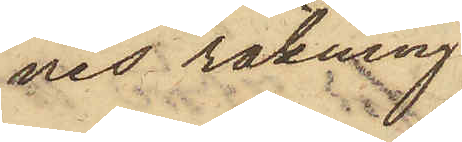nes räkning
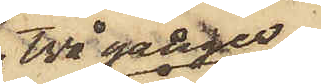två gånger
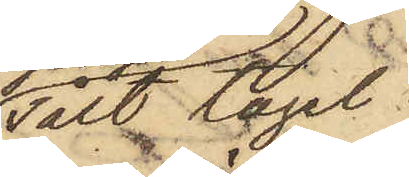sålt tagel
